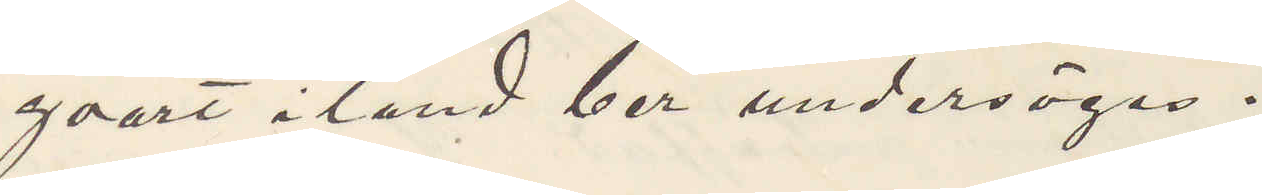qvart i land ber undersöges.
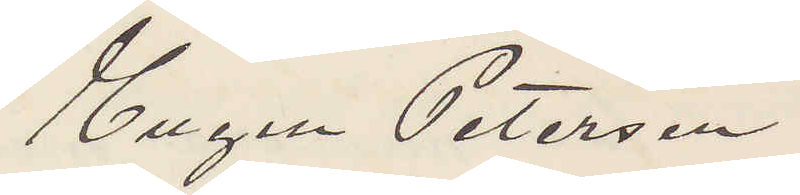Eugen Peterson
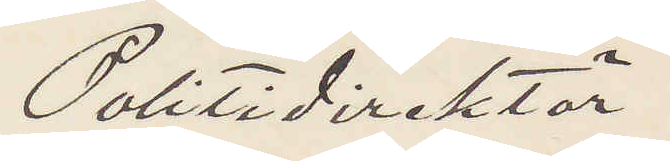Politidirektör
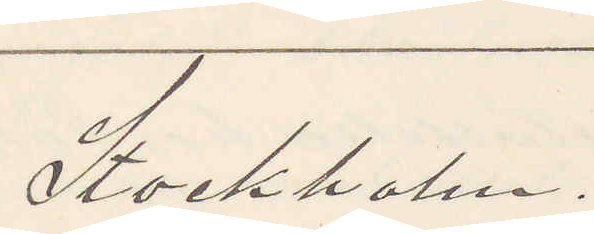Stockholm.
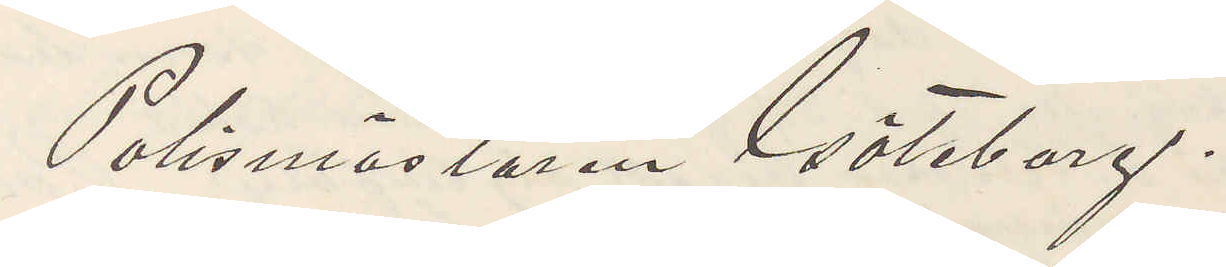Polismästaren Göteborg.
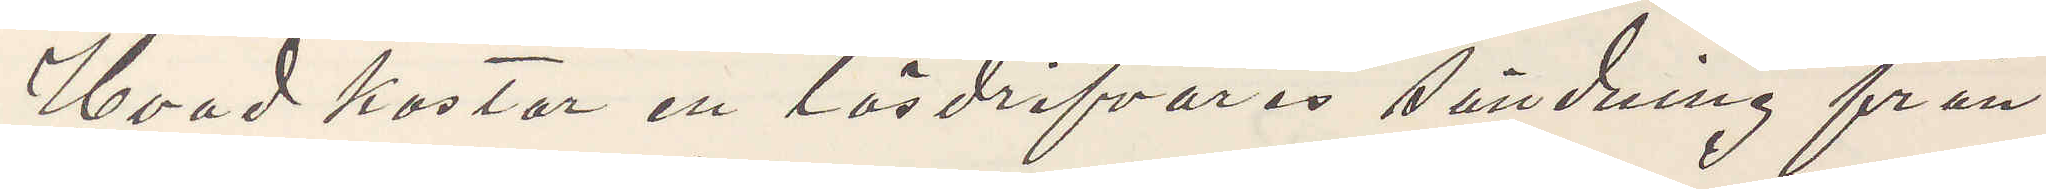Hvad kostar en lösdrifvares sändning från
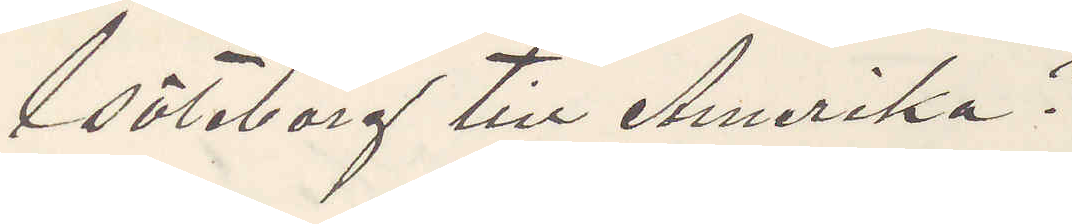Göteborg till Amerika?
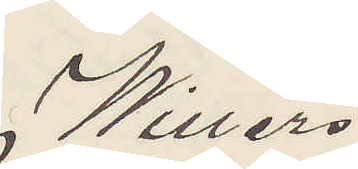Willers
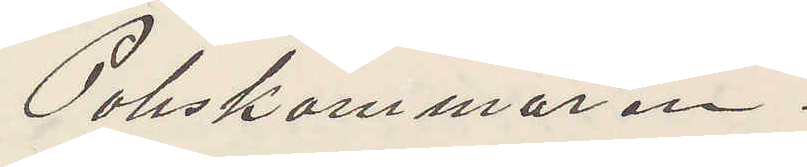Poliskammaren.
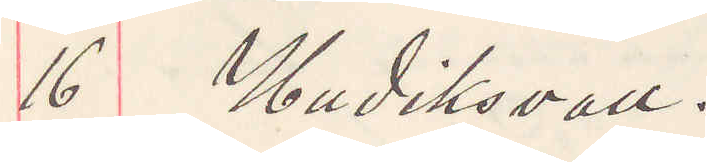16 Hudiksvall.
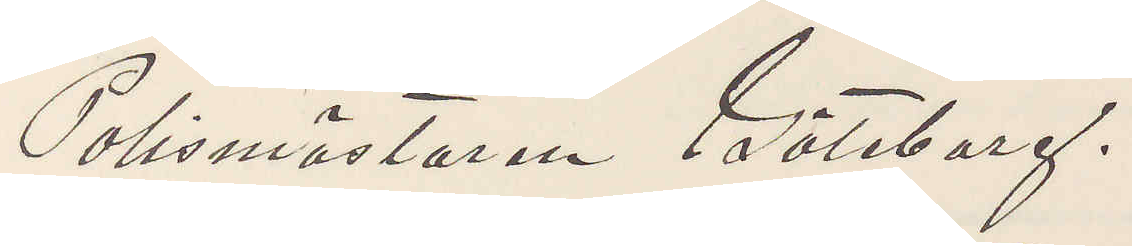Polismästaren Göteborg.
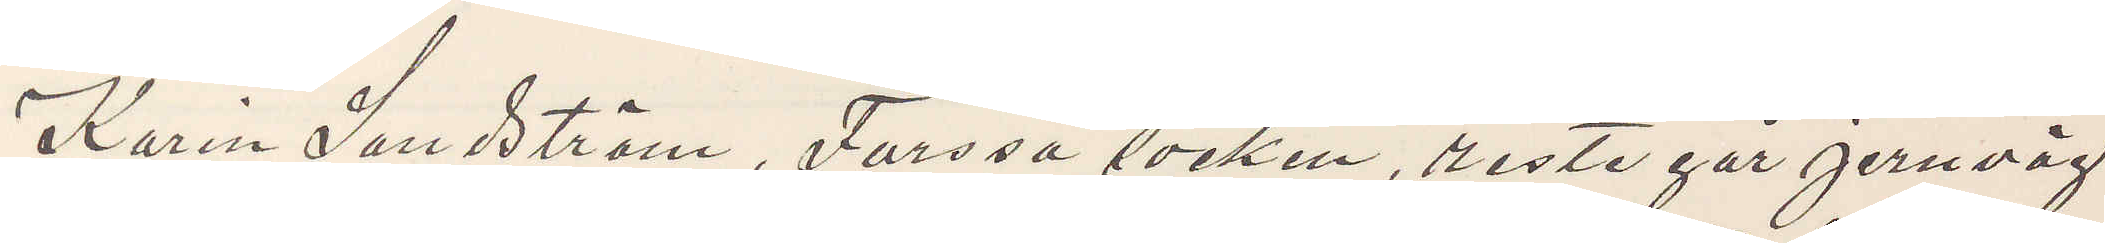Karin Sandström, Forssa socken, reste går jernväg
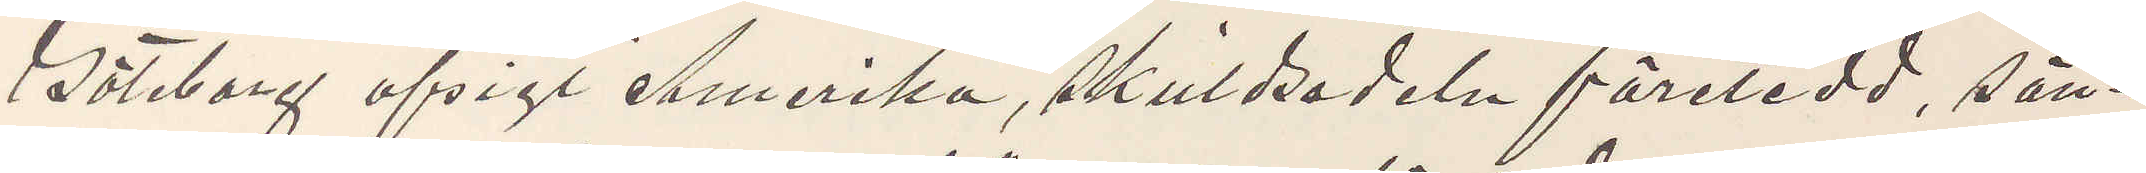Göteborg afsigt Amerika, skuldsedeln företedd, sän¬
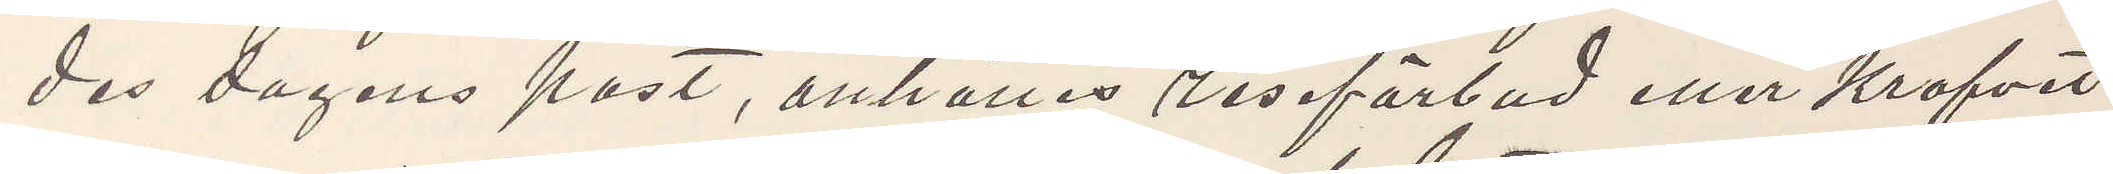des dagens post, anhålles reseförbud eller krafvet
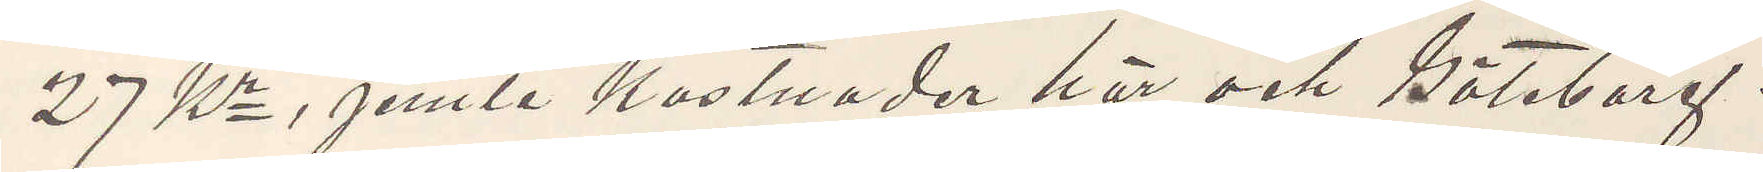27 Kr, jemte kostnader här och Göteborg.
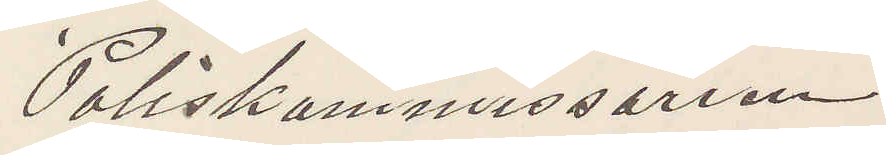Poliskommissarien
